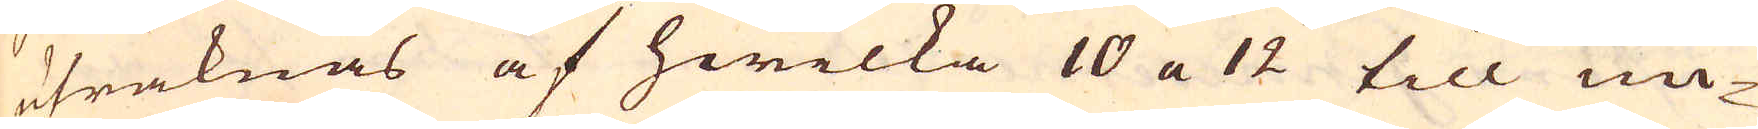uträknas af hwilka 10 a 12 till un-
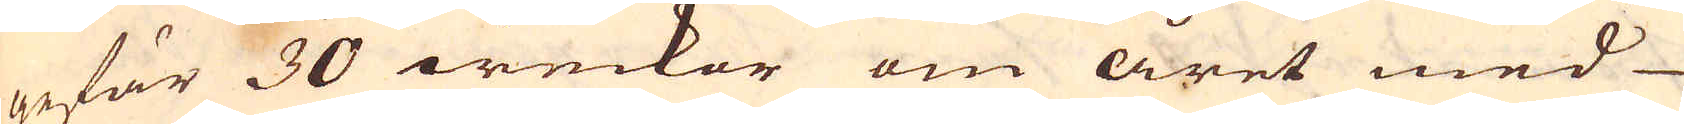gefär 30 weckor om året med
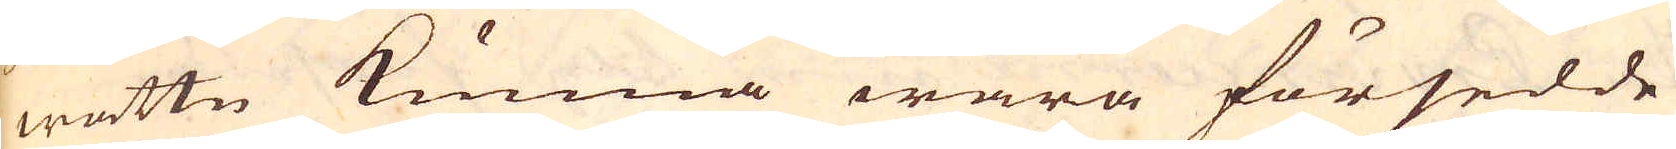wattn kunna wara försedde
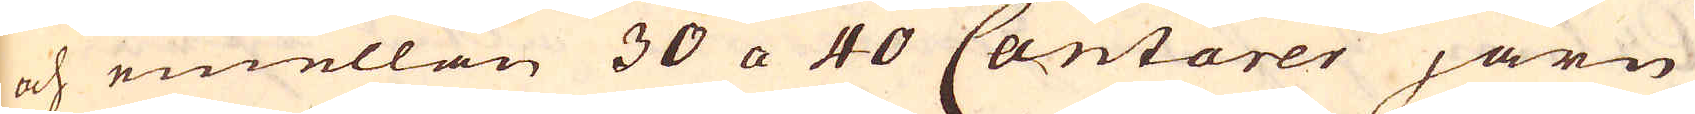och emellan 30 a 40 Cantarer järn
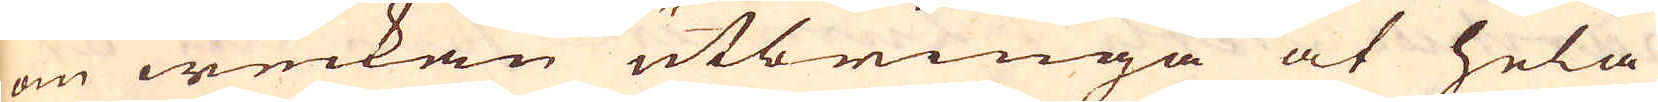om weckan utbringa at hela
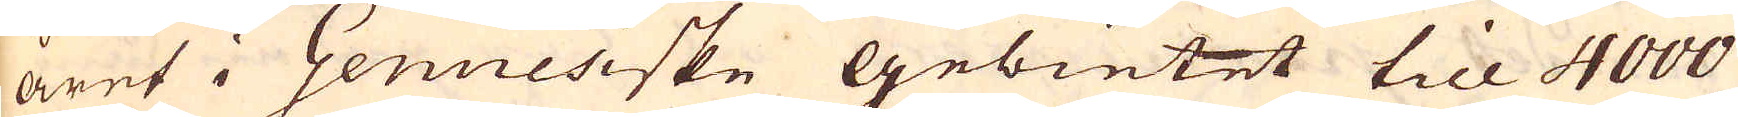året i Genuesiske gebietet till 4000
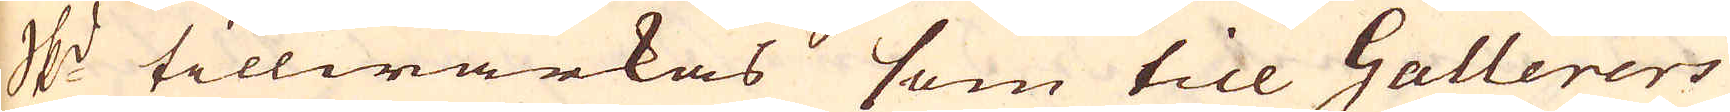sk:pd tillwärkas som till Gallerers
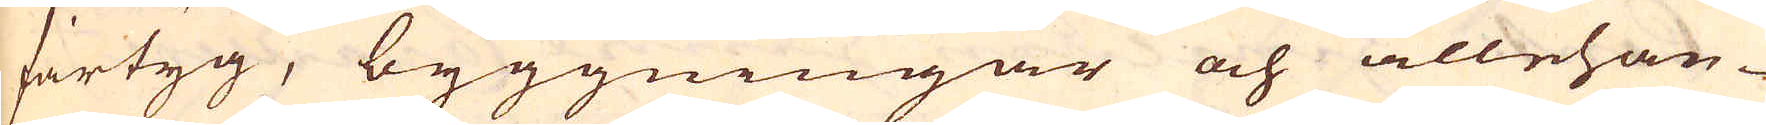fartyg, byggningar och allehan-
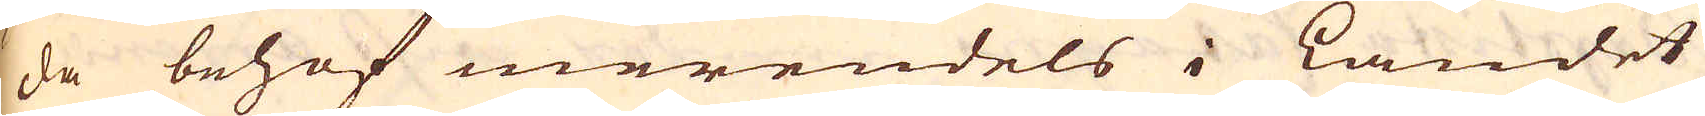da behof merendels i Landet
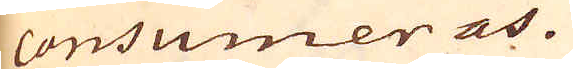consumeras.
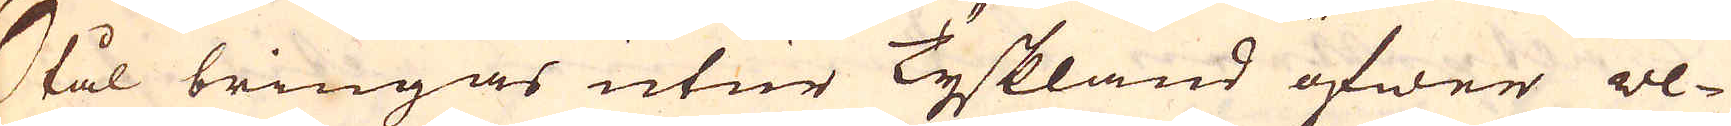Stål bringas utur Tyskland öfwer ve-
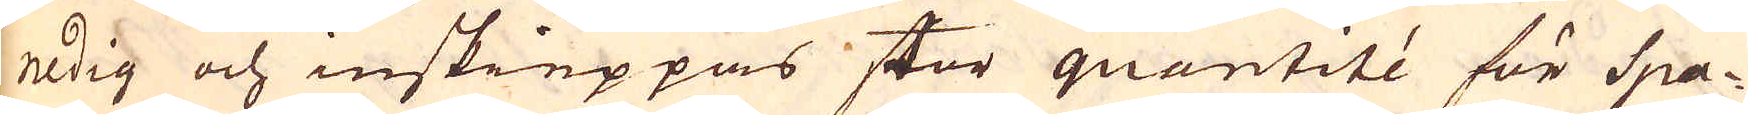nedig och inskieppas stor quantité för Spa-
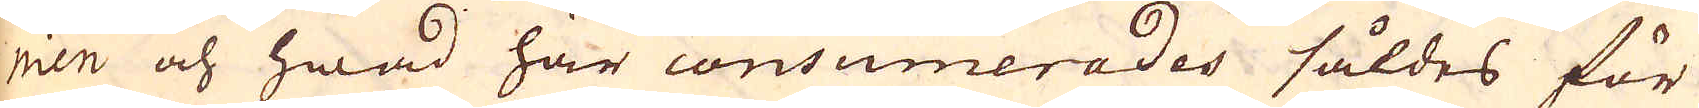nien och hwad här consumerades såldes för
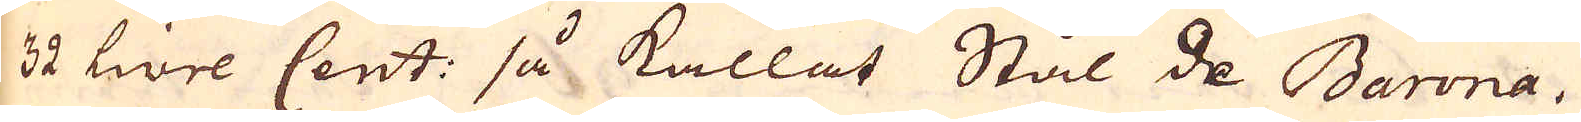32 livre Cent: så kallat Stål de Barona,
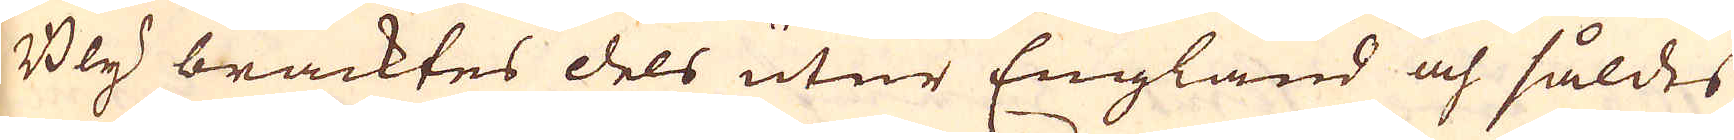Bly bracktes dels utur England och såldes
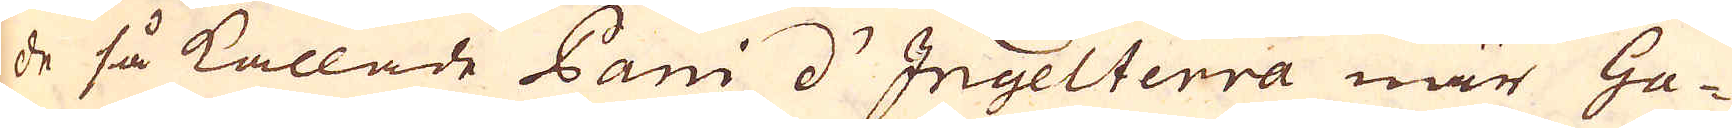de så kallade Pani d'Ingelterra när Ga-
